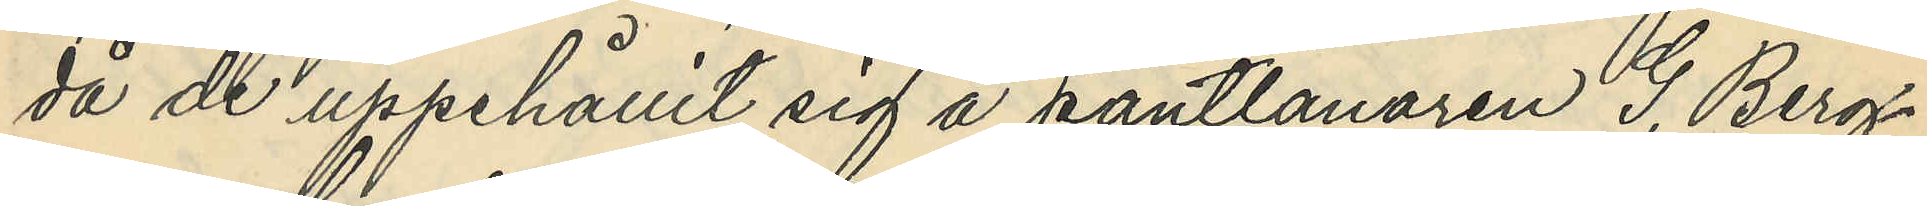då de uppehållit sig å pantlånaren G. Berg¬
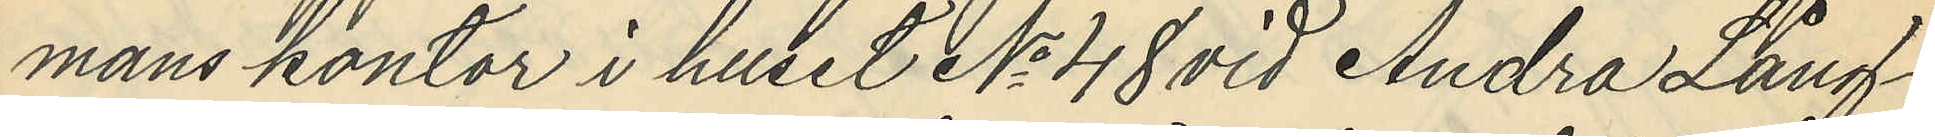mans kontor i huset No 48 vid Andra Lång¬
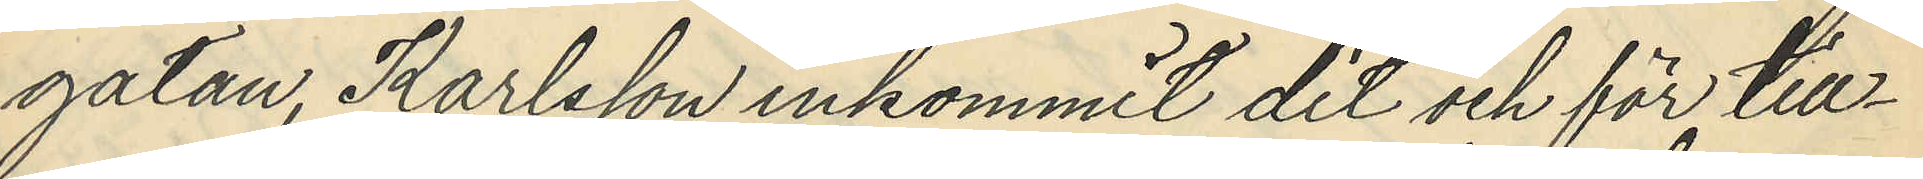gatan, Karlsson inkommit dit och för till¬
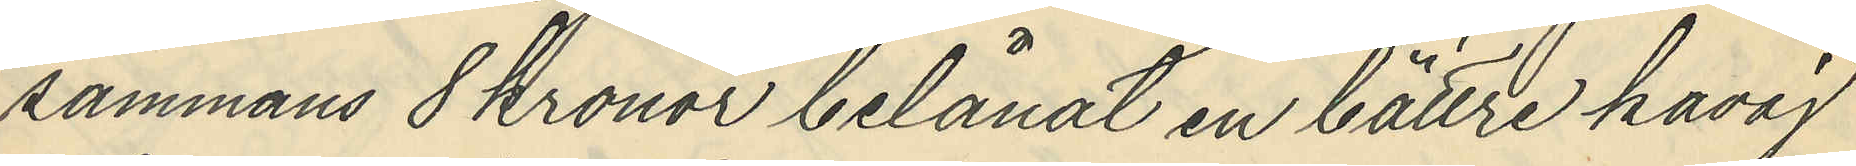sammans 8 Kronor belånat en bättre kavaj
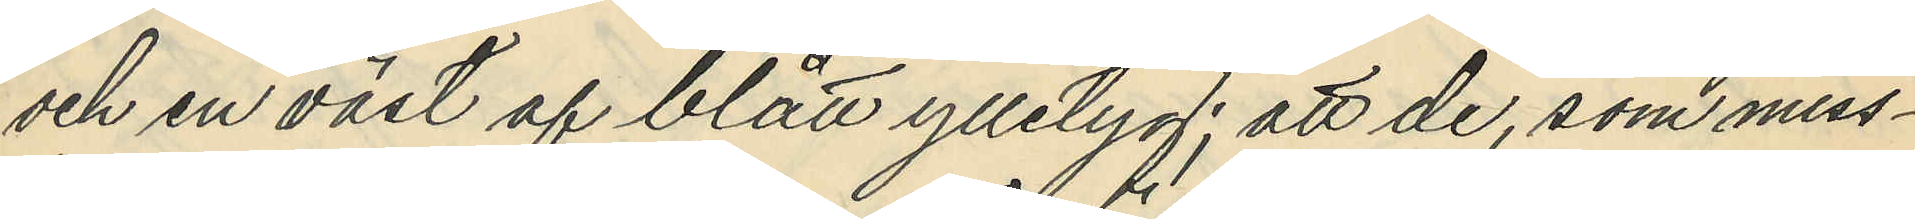och en väst af blått ylletyg; att de, som miss¬
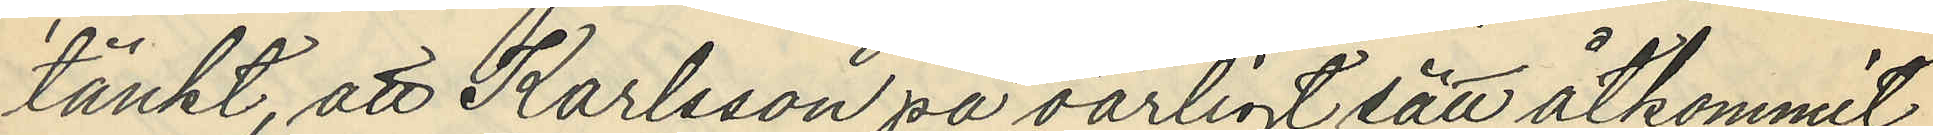tänkt, att Karlsson på oärligt sätt åtkommit
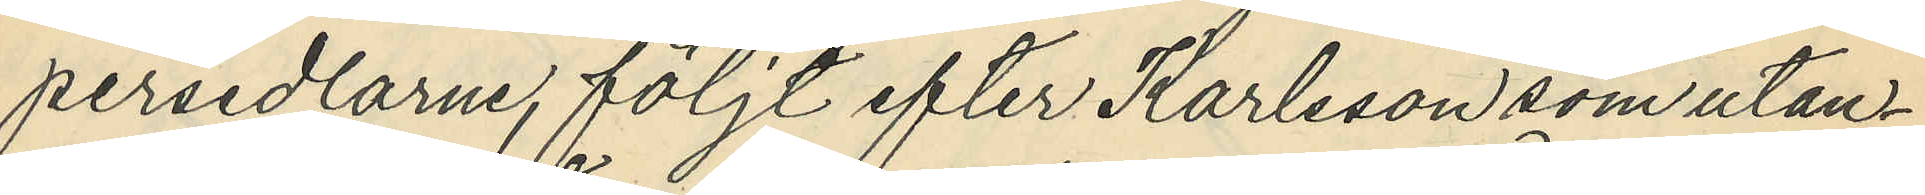persedlarne, följt efter Karlsson som utan¬
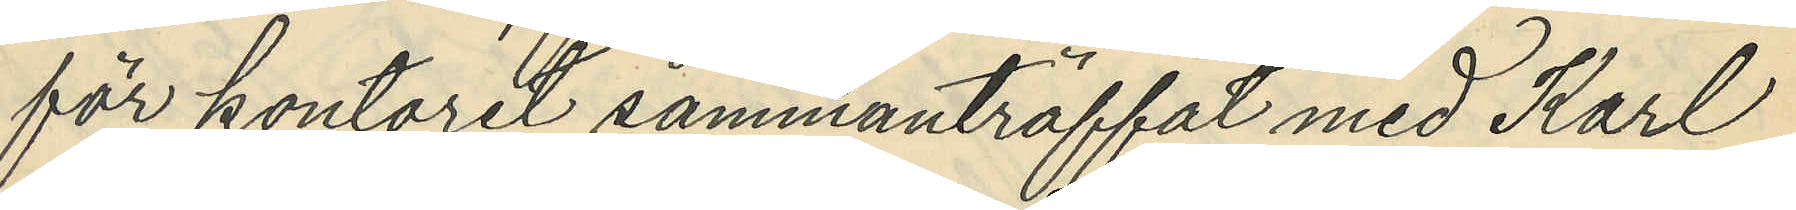för kontoret sammanträffat med Karl
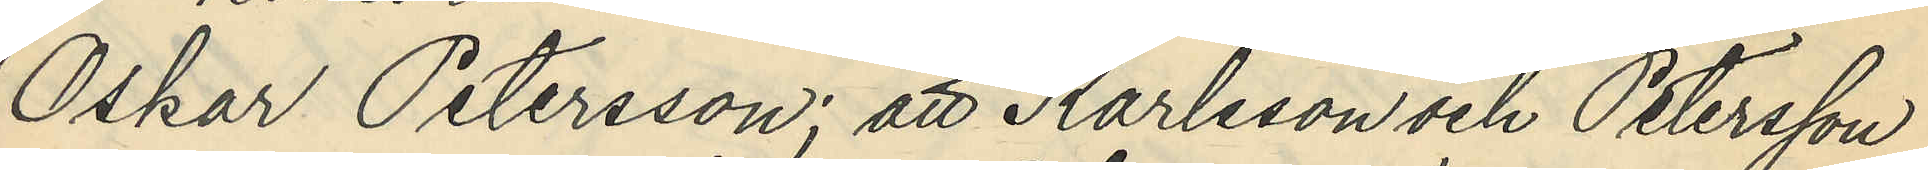Oskar Petersson; att Karlsson och Petersson
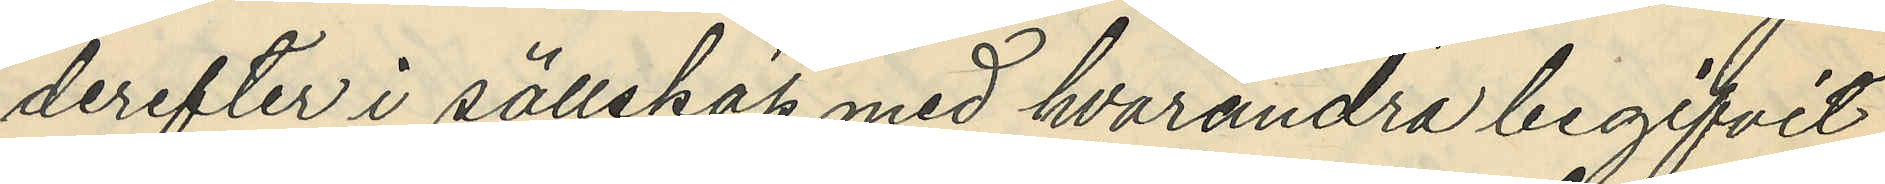derefter i sällskap med hvarandra begifvit
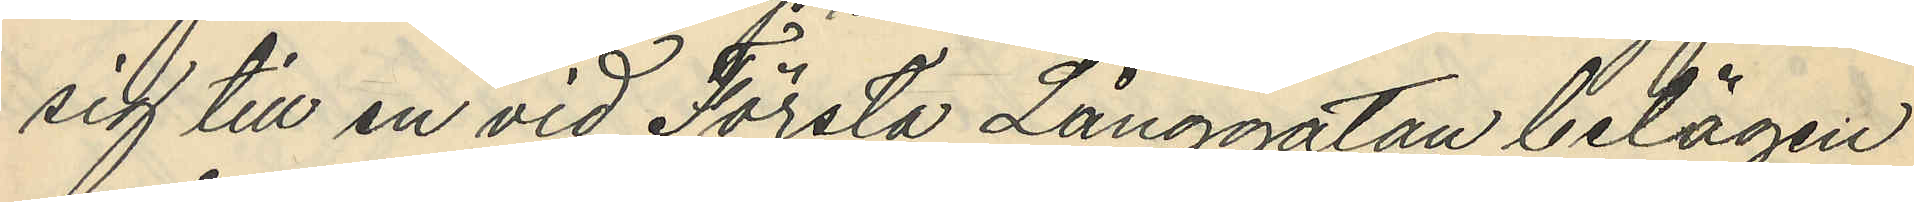sig till en vid Första Långgatan belägen
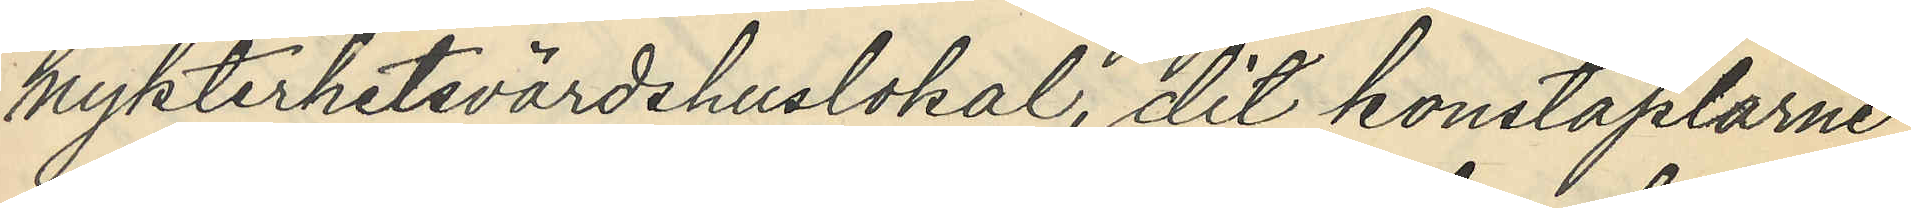nykterhetsvärdshuslokal, dit konstaplarne
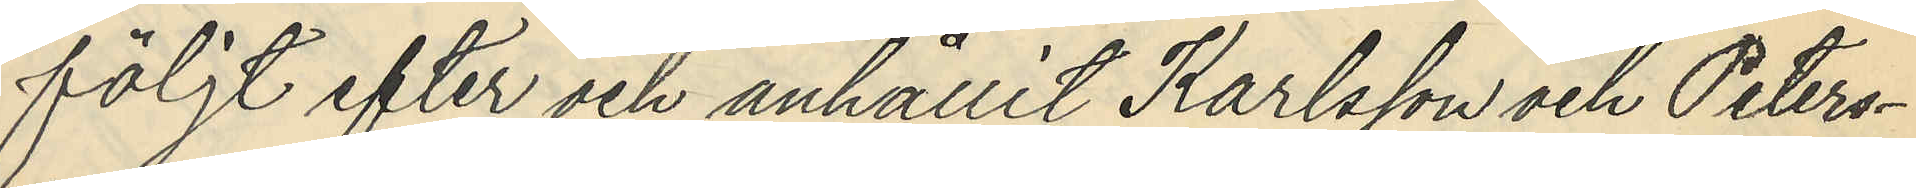följt efter och anhållit Karlsson och Peters¬
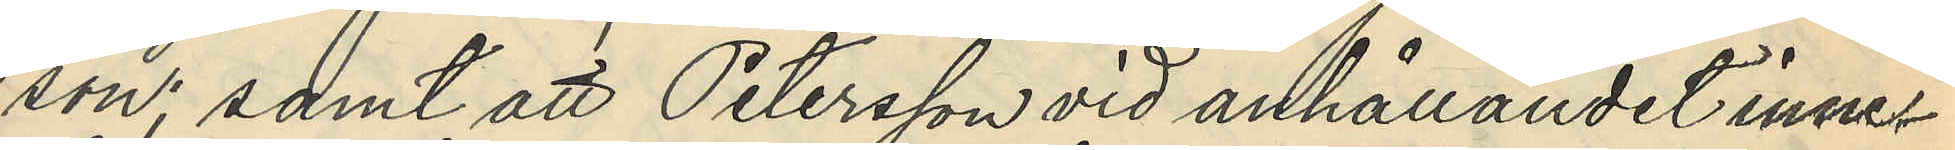son; samt att Petersson vid anhållandet inne¬
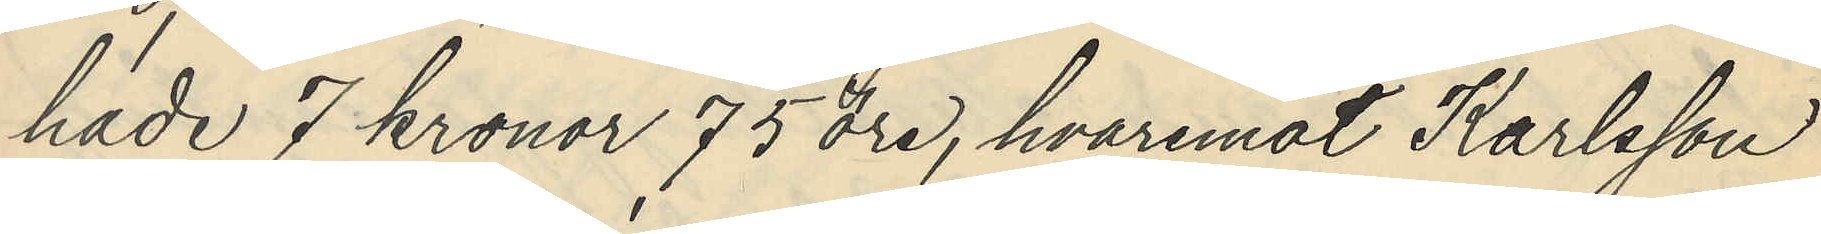hade 7 kronor 75 öre, hvaremot Karlsson
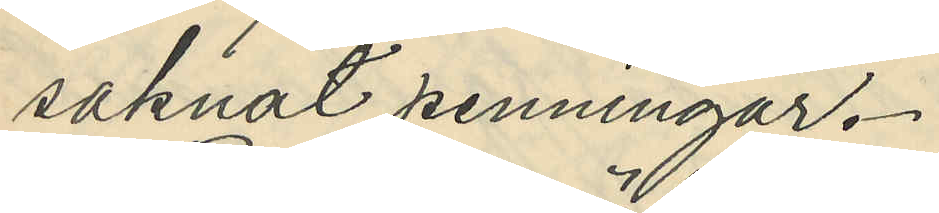saknat penningar.
